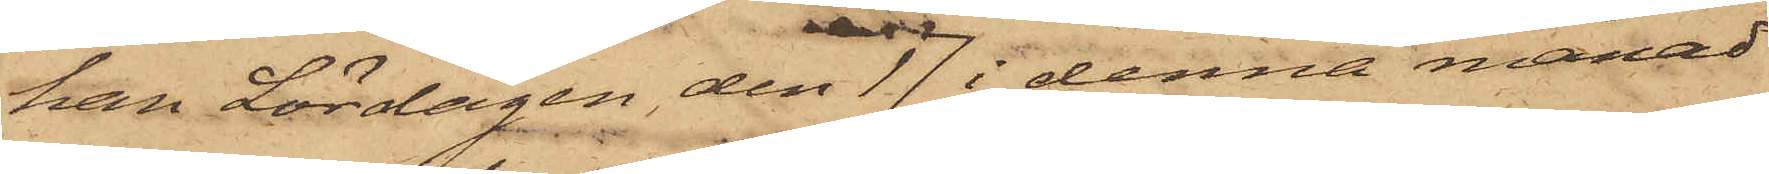han Lördagen den 17 i denna månad
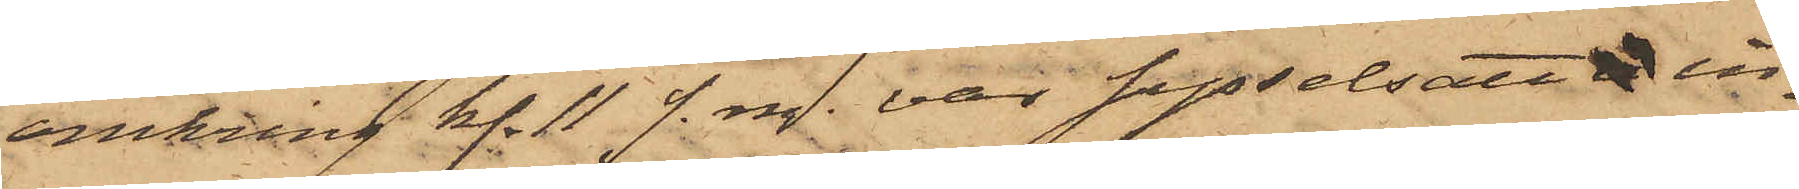omkring kl. 11 f. m. var sysselsatt in¬
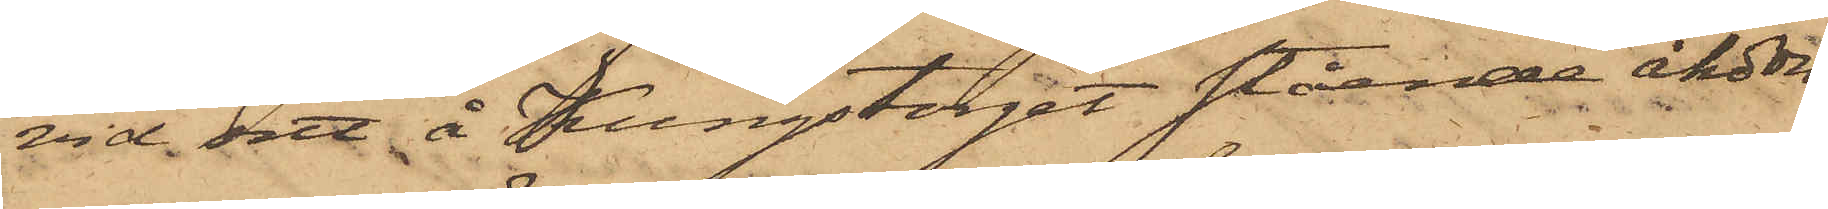vid sitt å Kungstorget stående åkdon
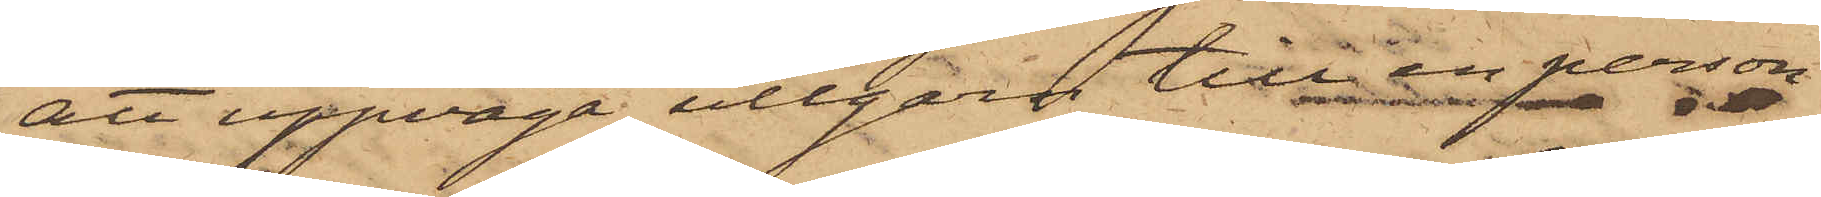att uppväga ullgarn till en person
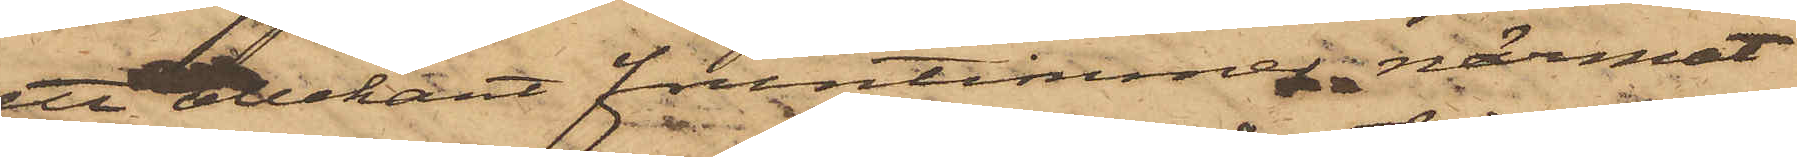ett obekant fruntimmer närmat
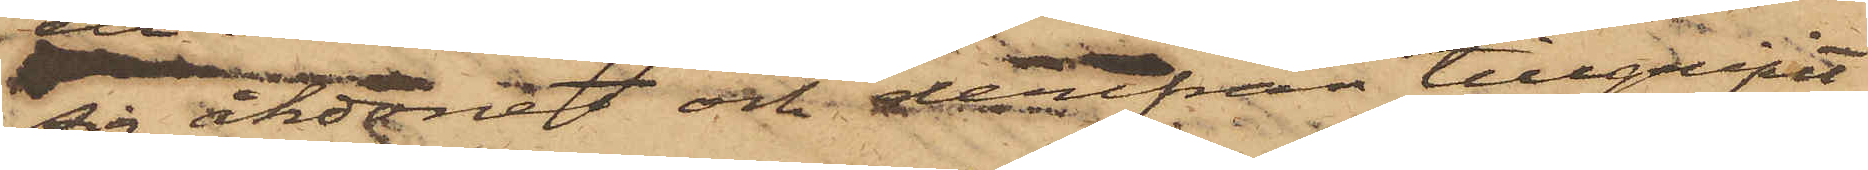sig åkdonet och derifrån tillgripit
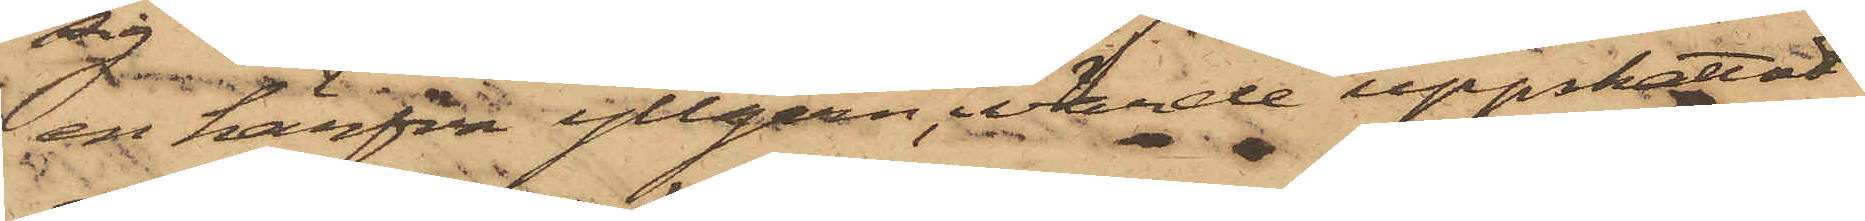en härfva ullgarn, värde uppskattat
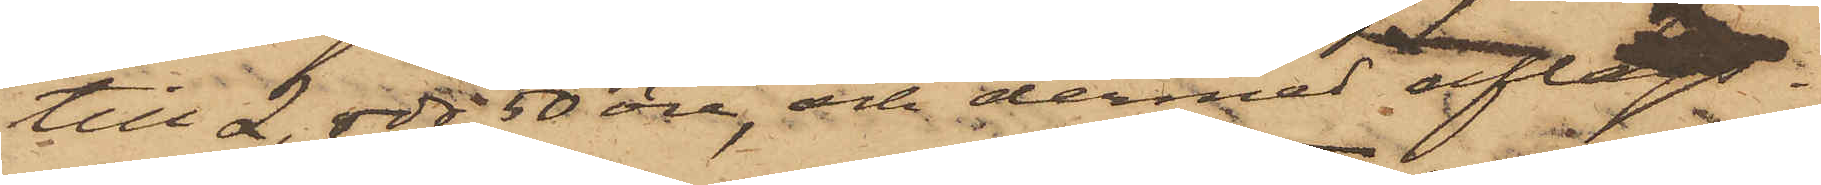till 2 rdr 50 öre, och dermed aflägs¬
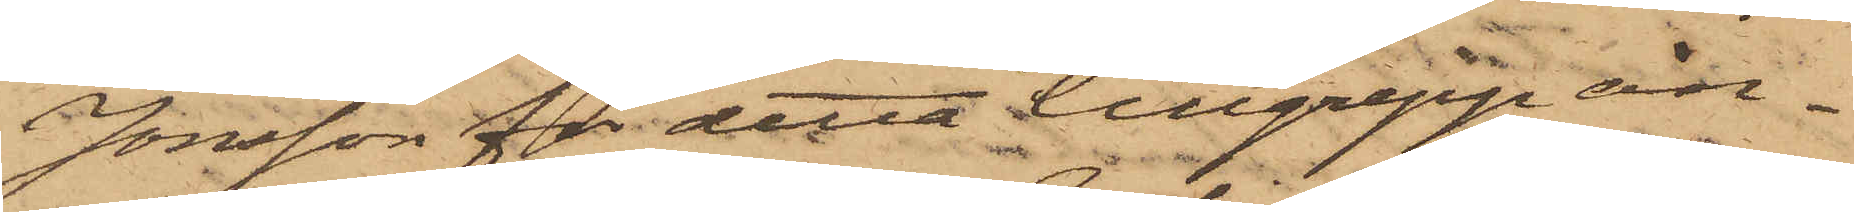Jonsson för detta tillgrepp an¬
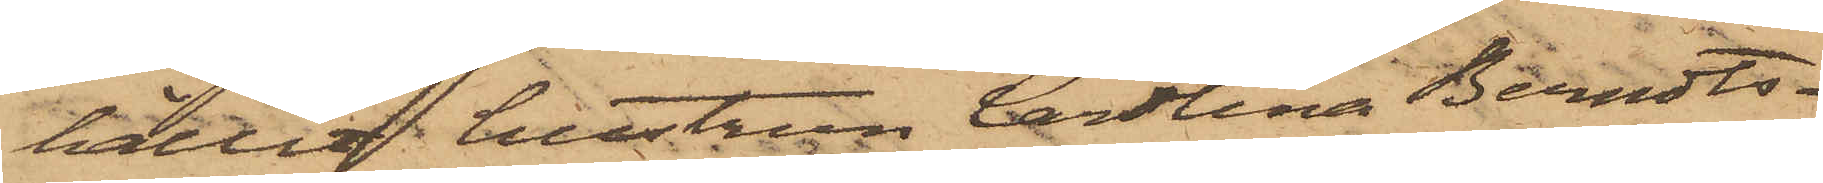hållit hustrun Carolina Berndts¬
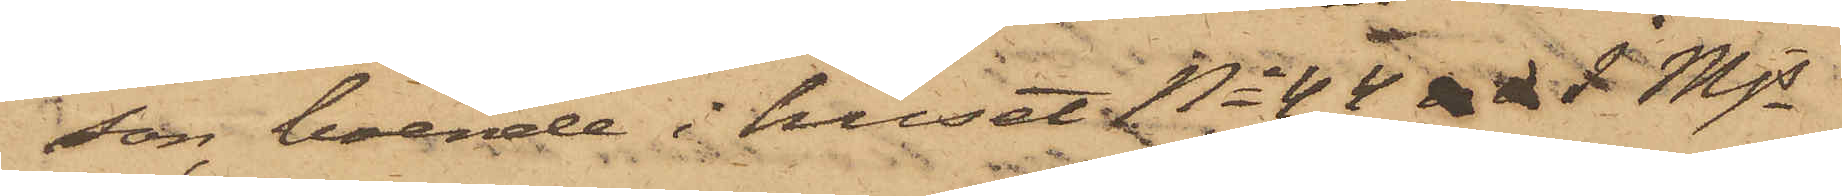son, boende i huset No 44 i Mjs
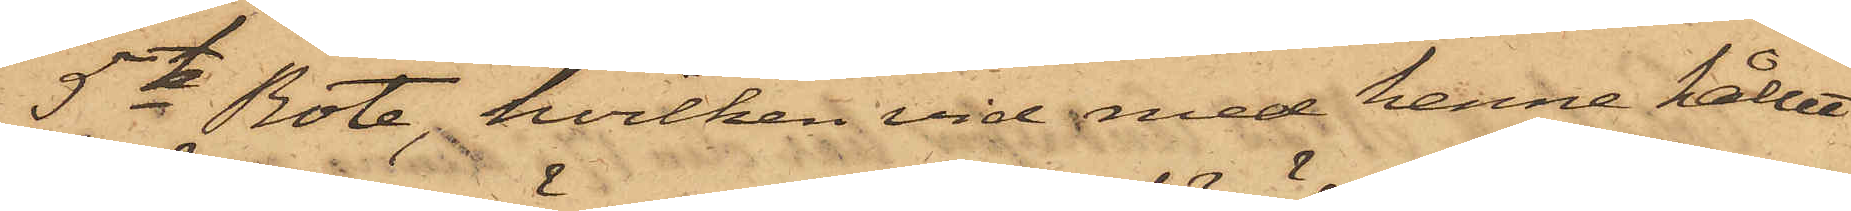5te Rote, hvilken vid med henne hållet
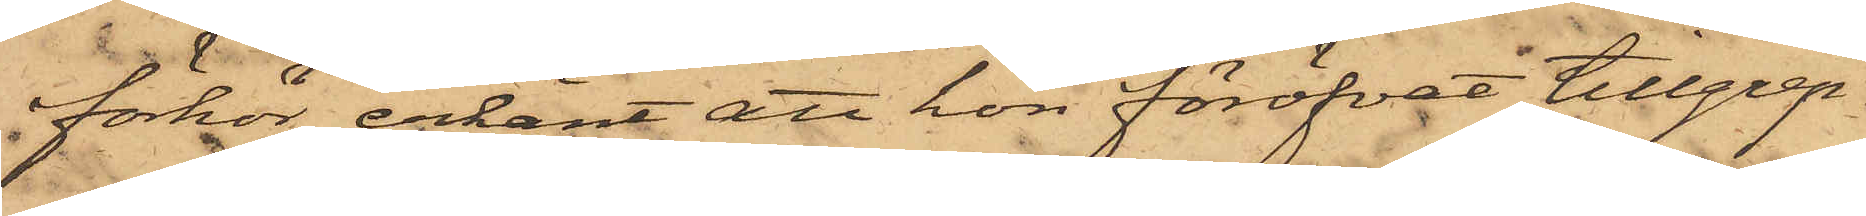förhör erkänt att hon föröfvat tillgrep¬
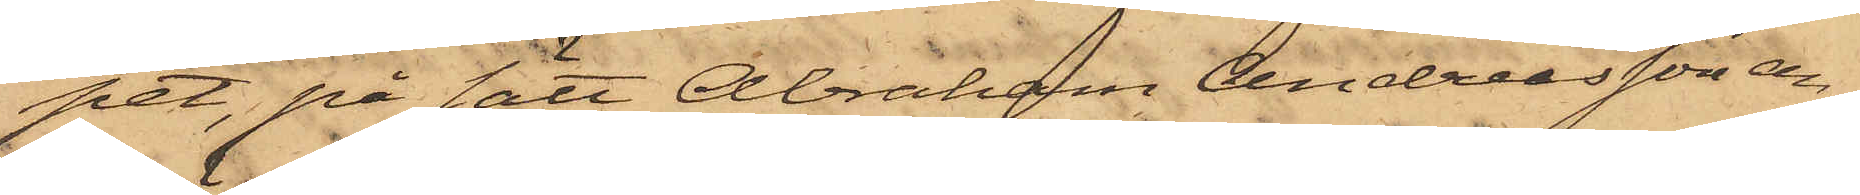pet, på sätt Abraham Andersson an¬
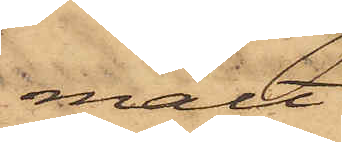mält
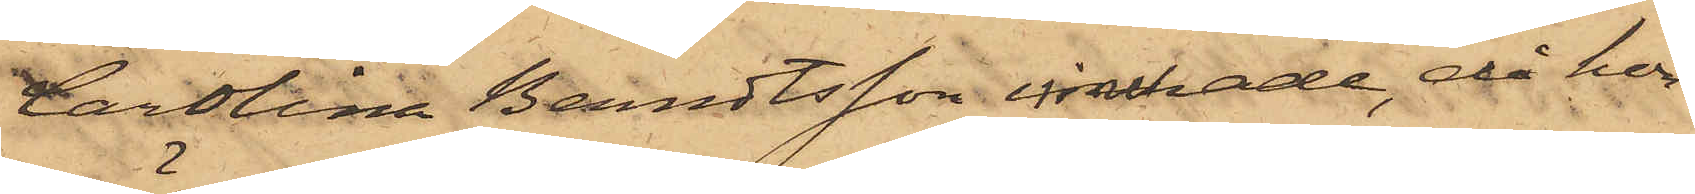Carolina Berndtsson innehade, då hon
